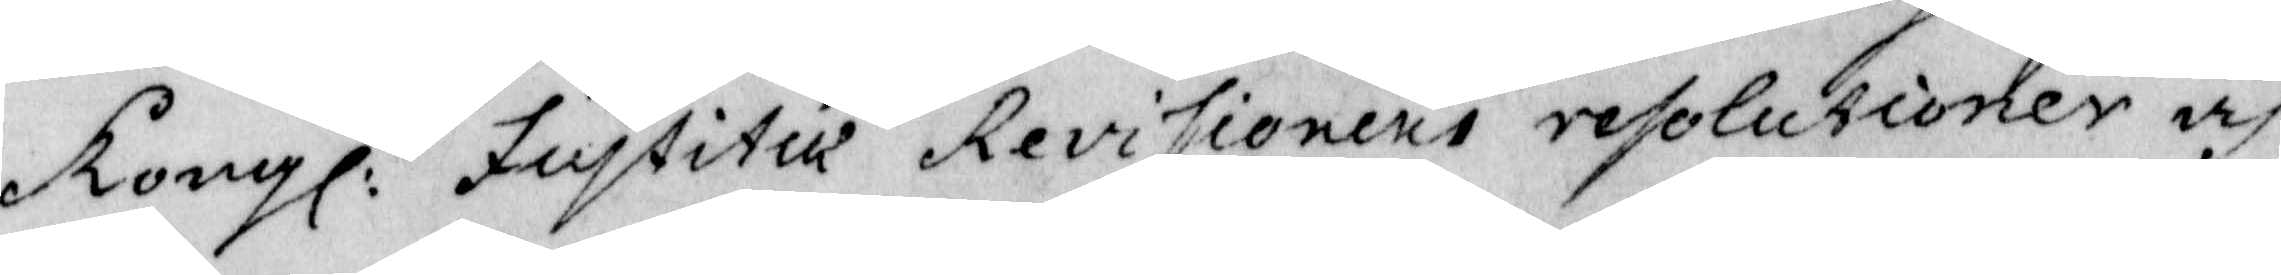Kongl: Justitie Revisionens resolutioner och
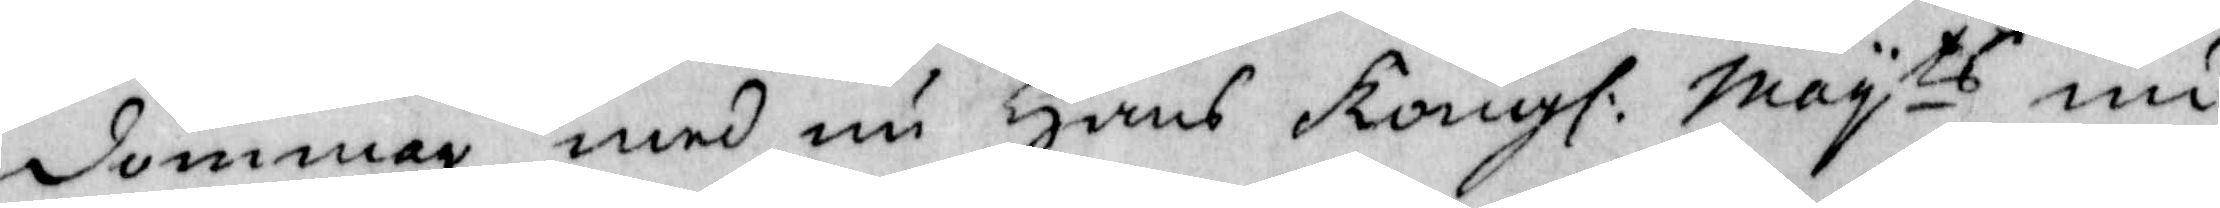dommar med nu Hans Kongl: Mayts nu
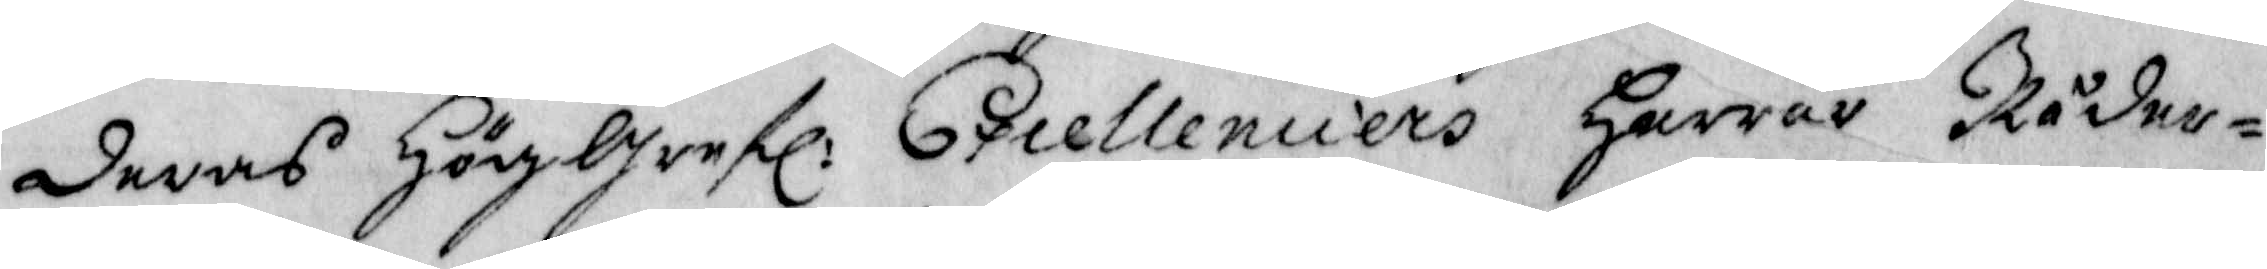deras Höggrefl: Excellenciers Herrar Råder¬
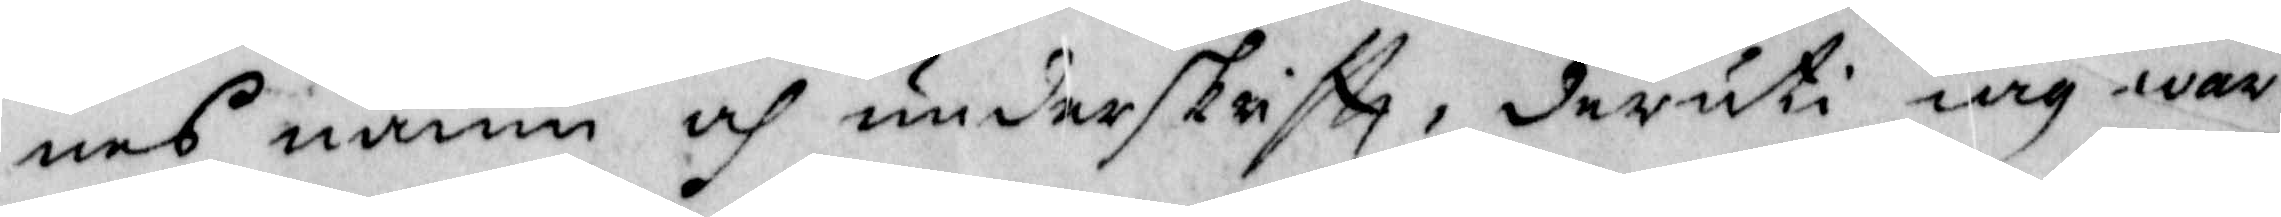nes namn och underskriftt, deruti iag war
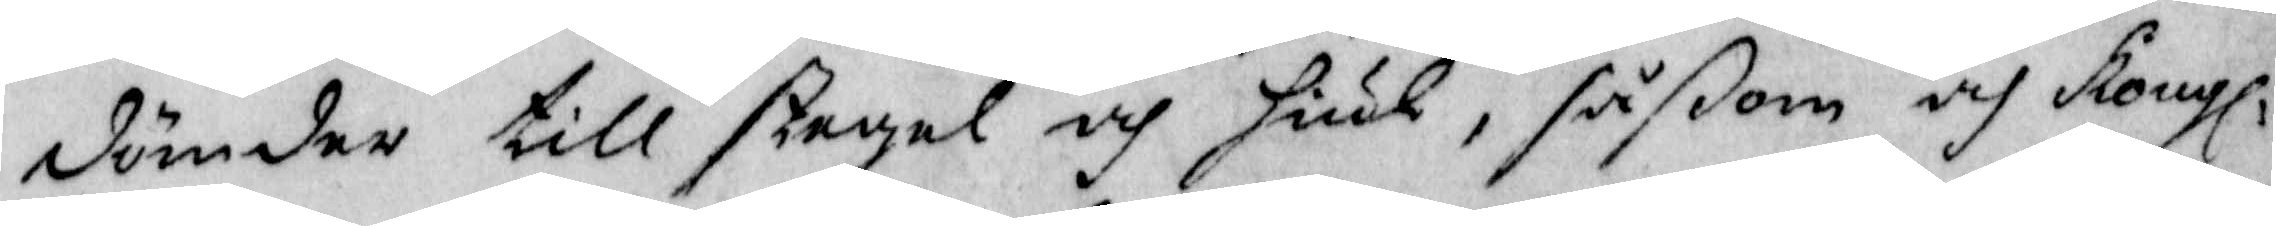dömder till stegel och hiul, såßom och Kongl:
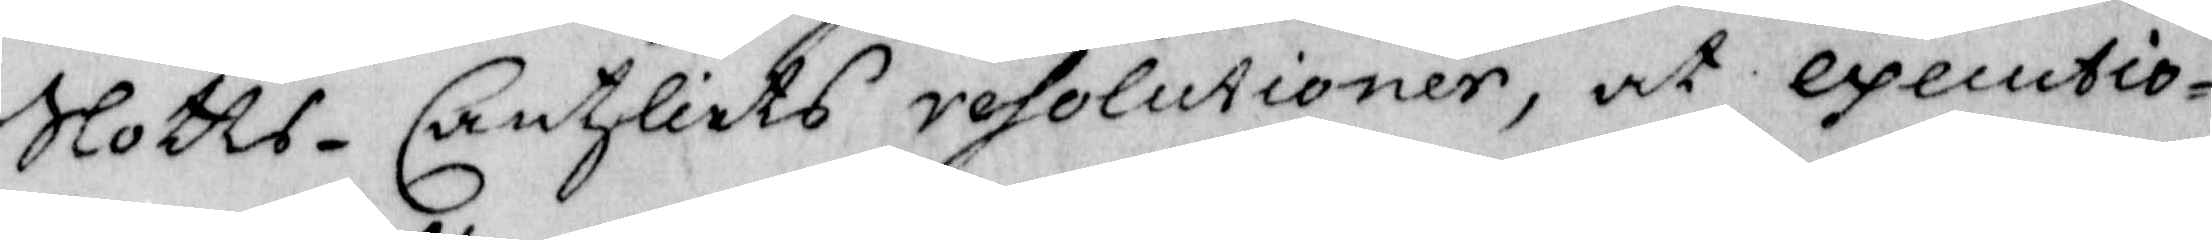Slotts-Cantzliets resolutioner, at executio¬
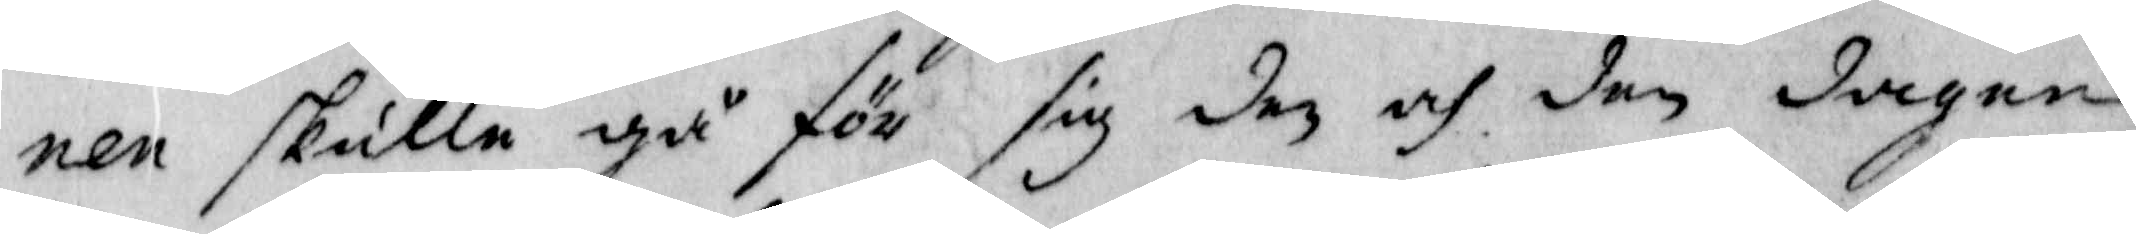nen skull gå för sig den och den dagen
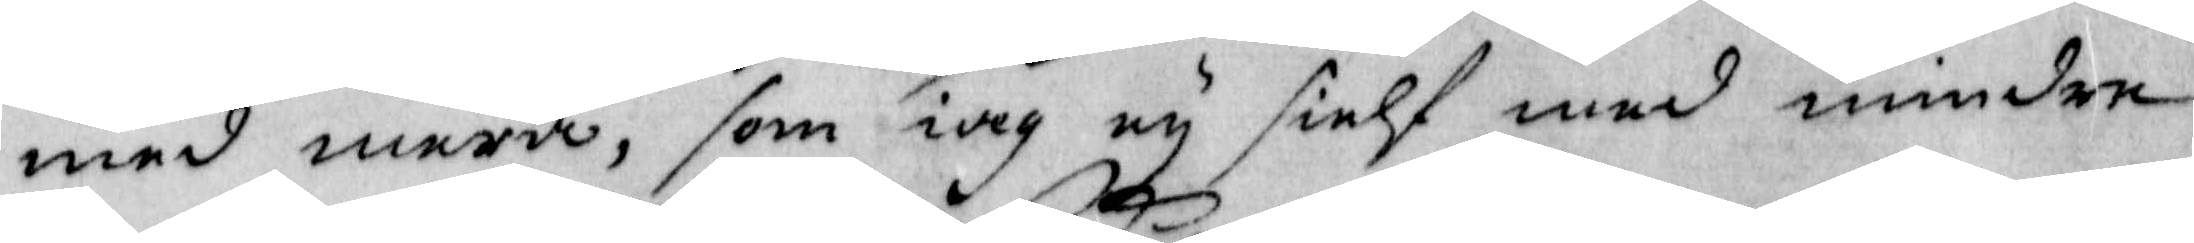med mera, som iag ey sielf med mindre
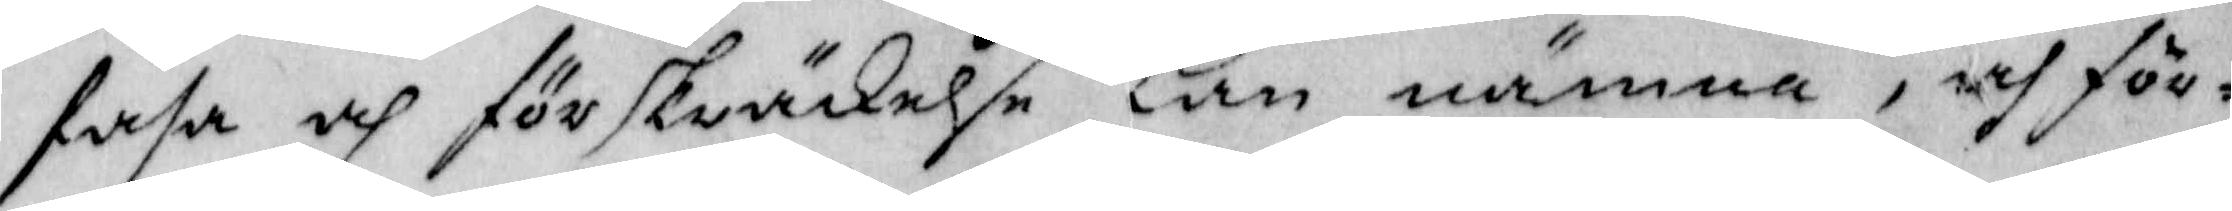fasa och förskräkelse kan nämna, och för¬
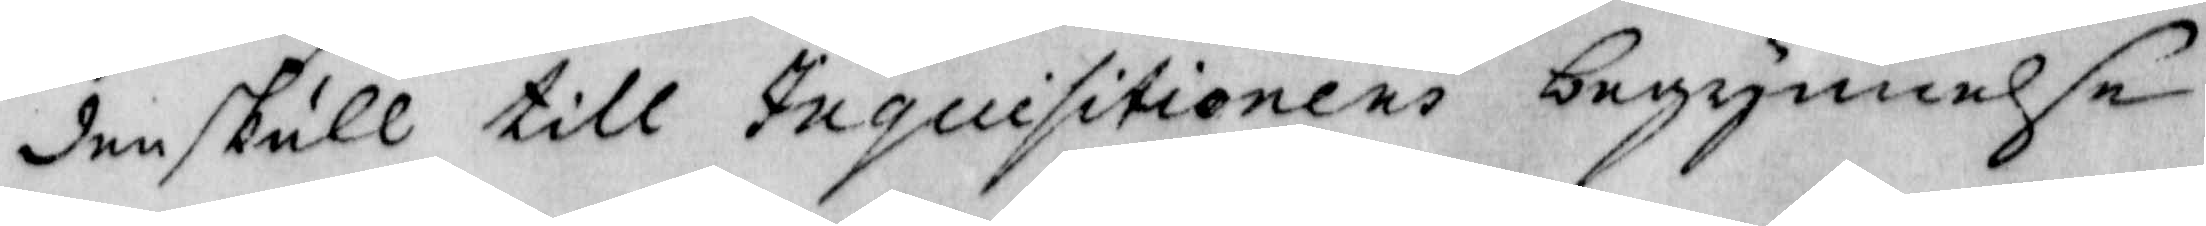den skull till Inquisitionens begynnelse
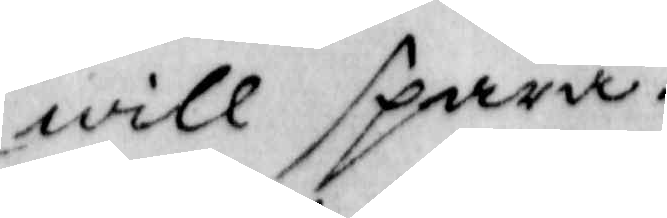will spara.
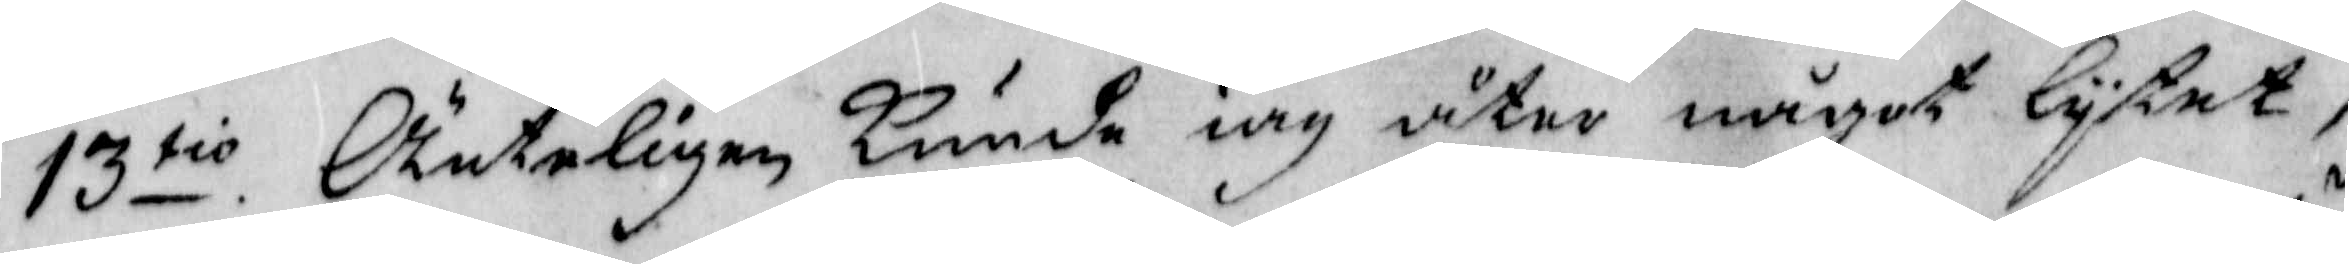13tio. Änteligen kunde iag åter något lytet
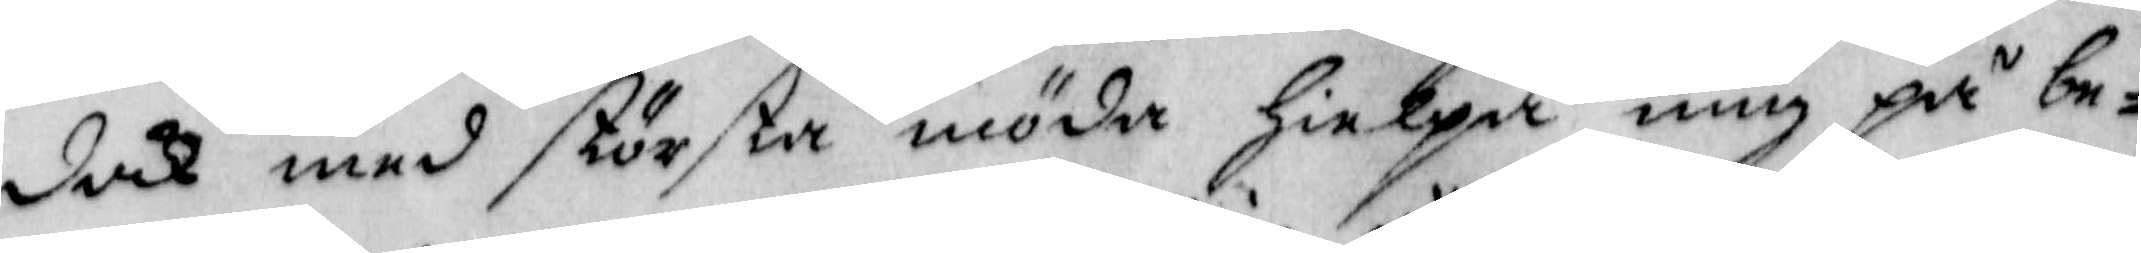dok med största möda hielpa mig på be¬
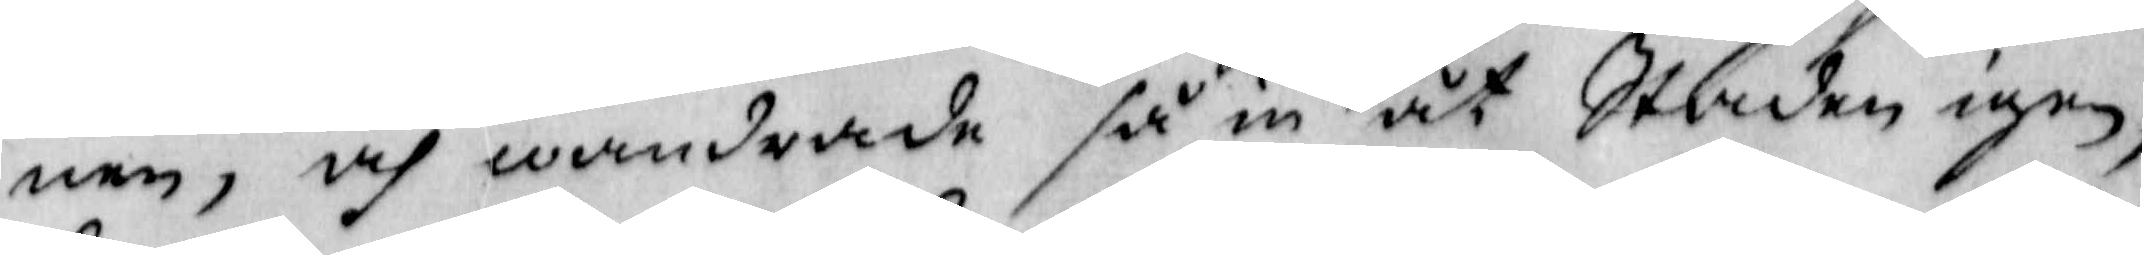nen, och wandrade så in åt Staden igen,
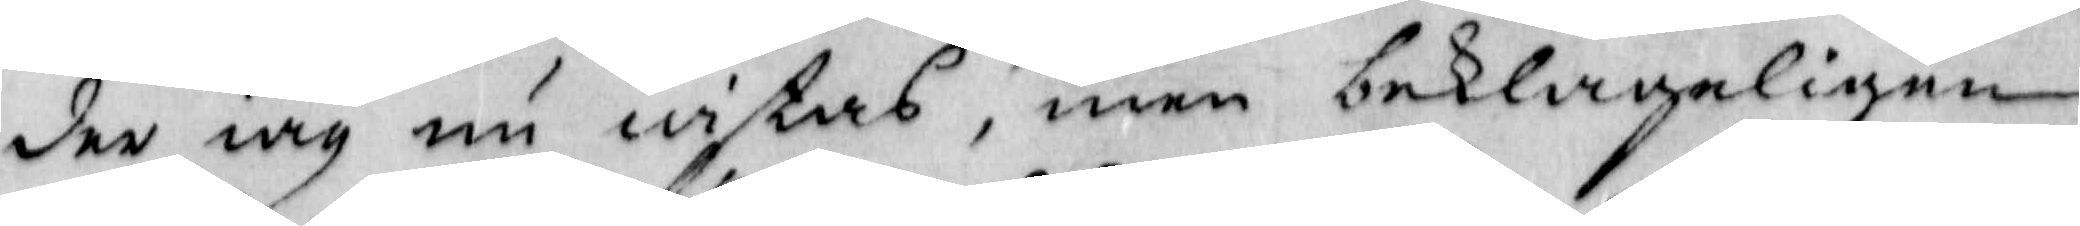der iag nu wistas, men beklageligen
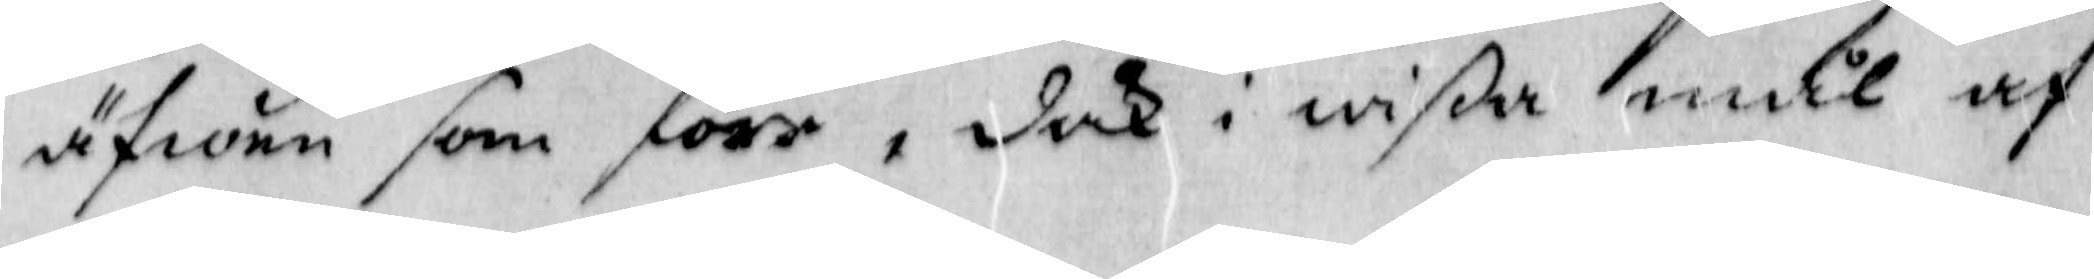äfwen som förr, dok i wißa mål af 
